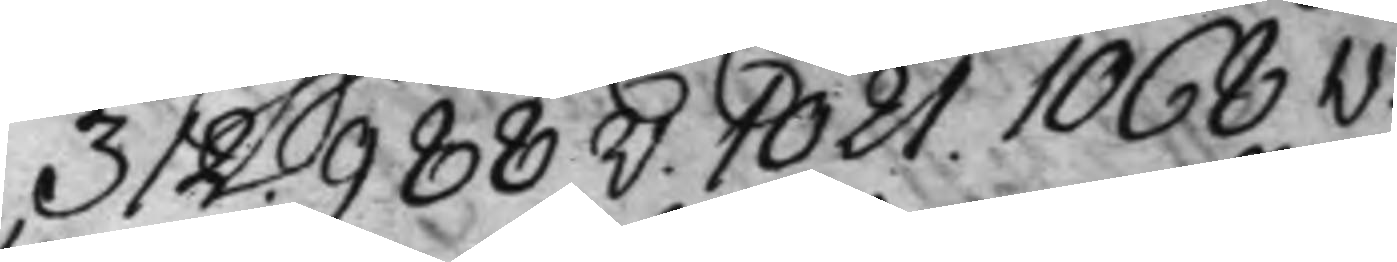312. 988v. 1021. 1068v.
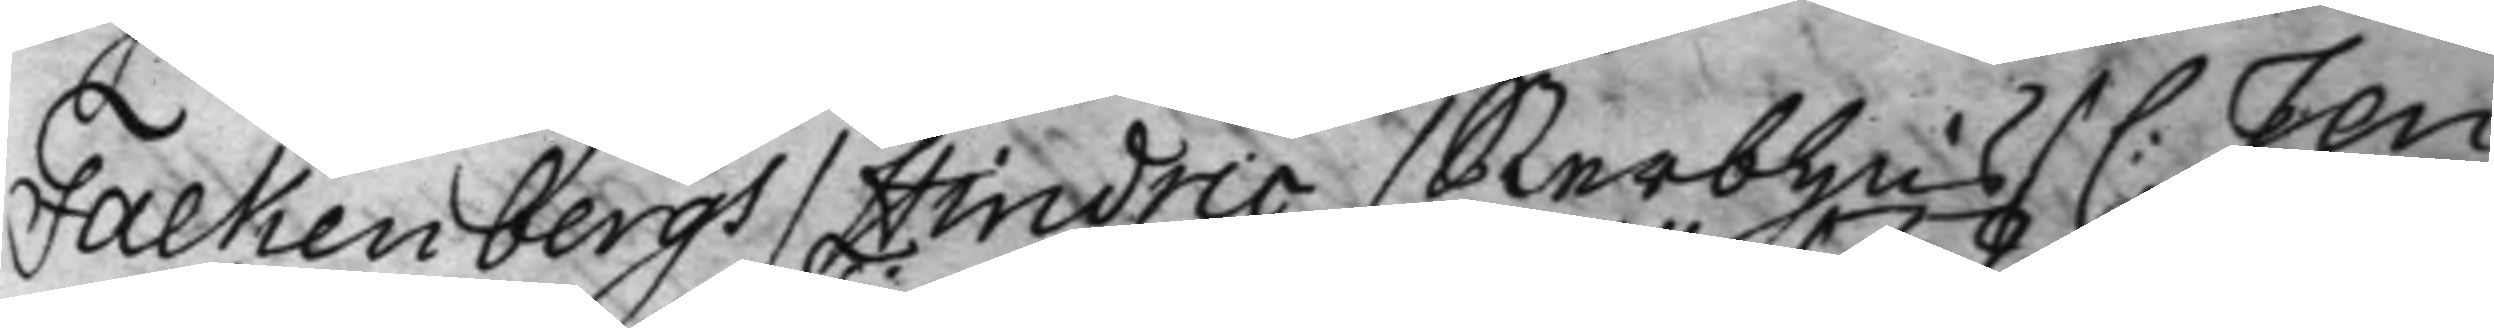Falkenbergh / Hindric / Sterbhus / C: Jen¬
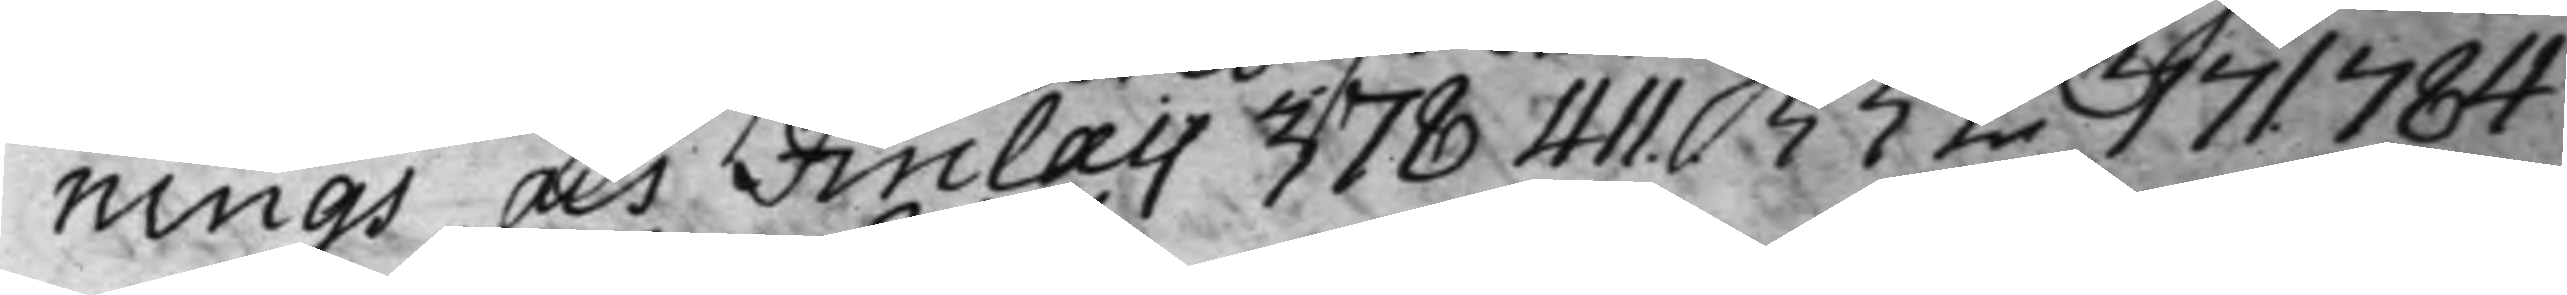nings och Finlay 378 411. 552. 771. 784
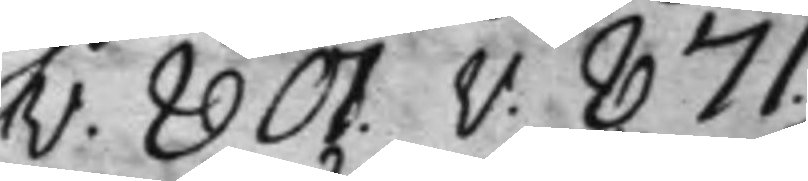v. 801v. 871.
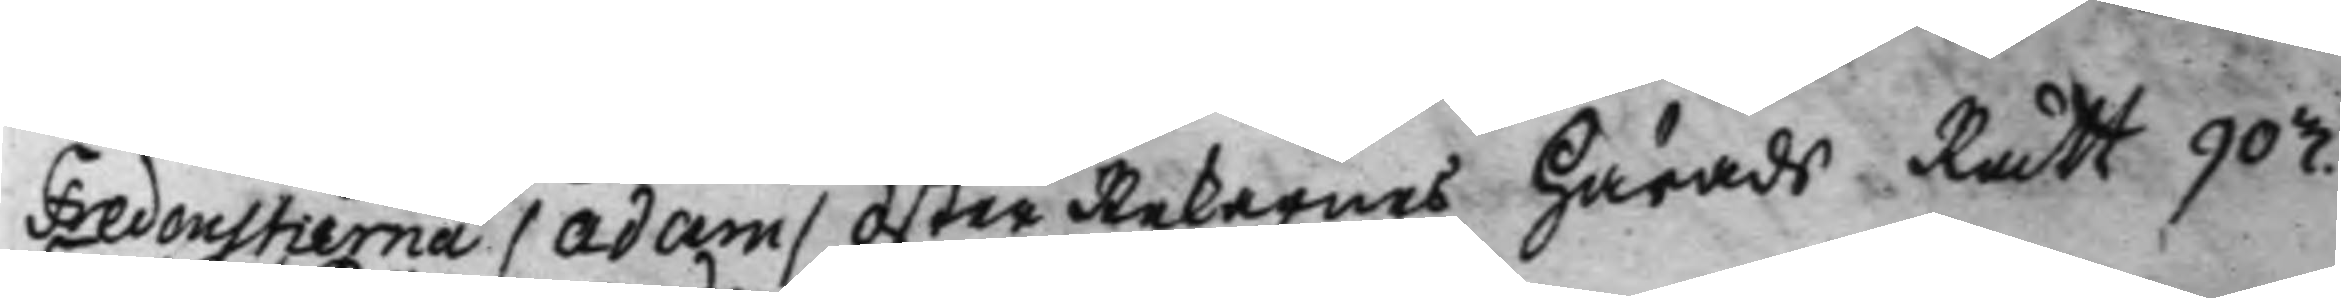Fredenstierna / Adam / Öster Rekarnes Härads Rätt 903.
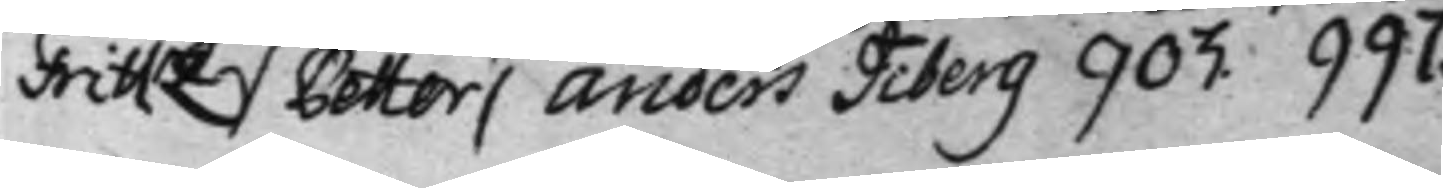Frittz / Petter / Anders Tiberg 903. 997.
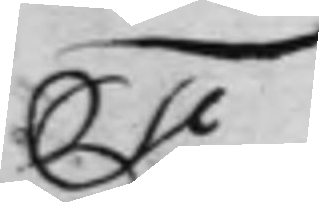F.
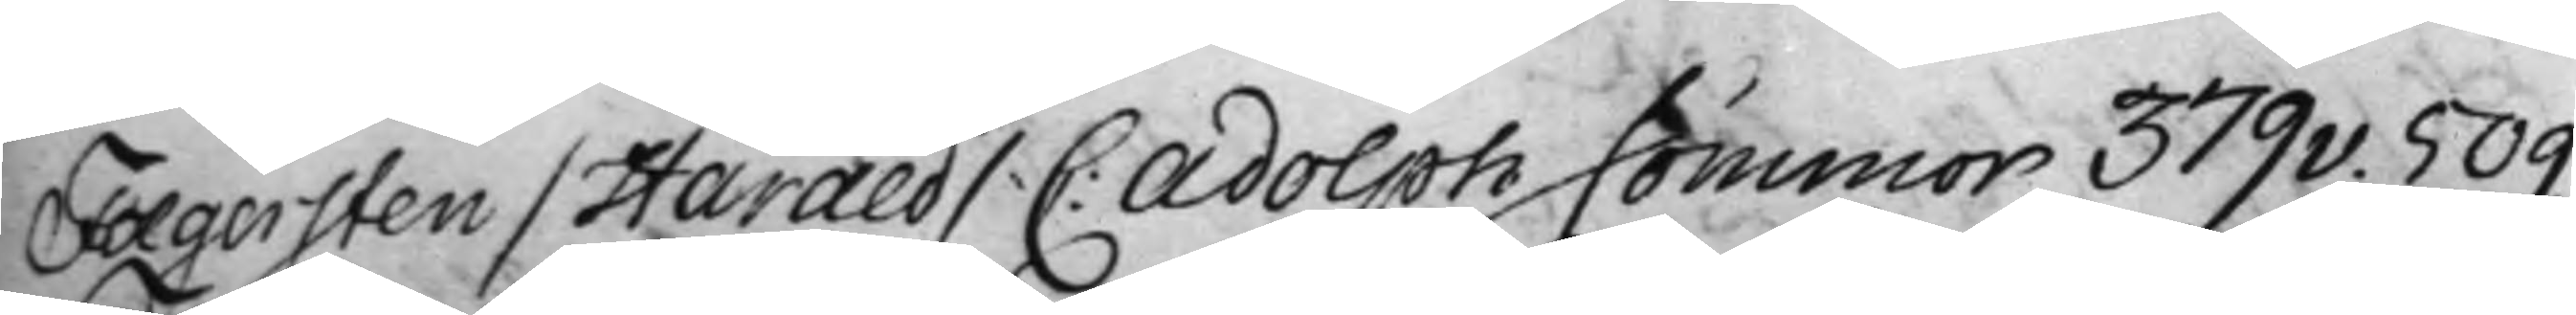Fægersten / Harald / C: Adolph Sommor 379v. 509.
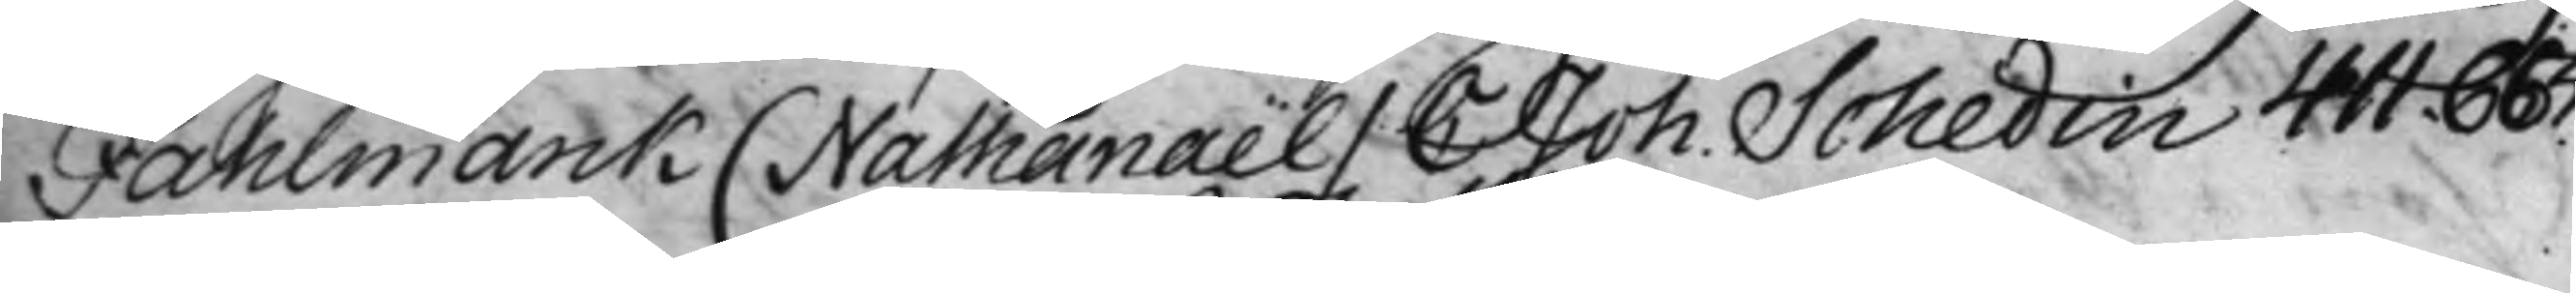Fahlmarck ( Nathanaël / C Joh. Schedin 411. 665.
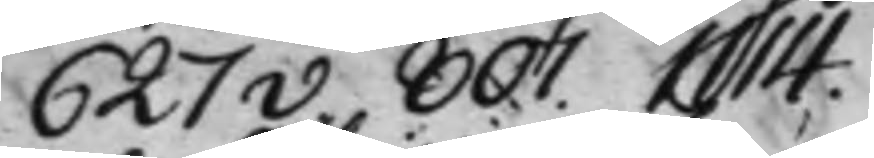627v. 807. 1114.
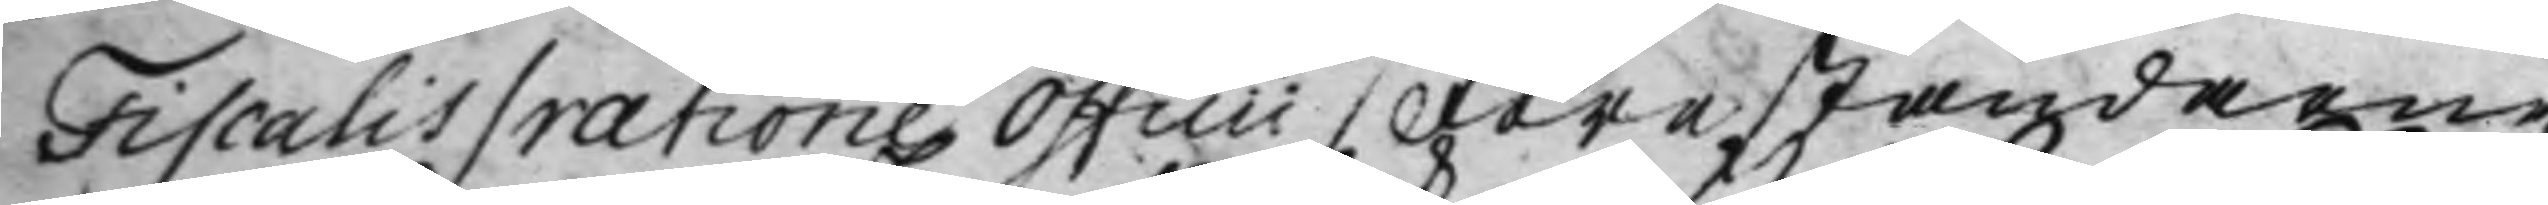Fiscalis / ratione Officii  / Föreståndaren
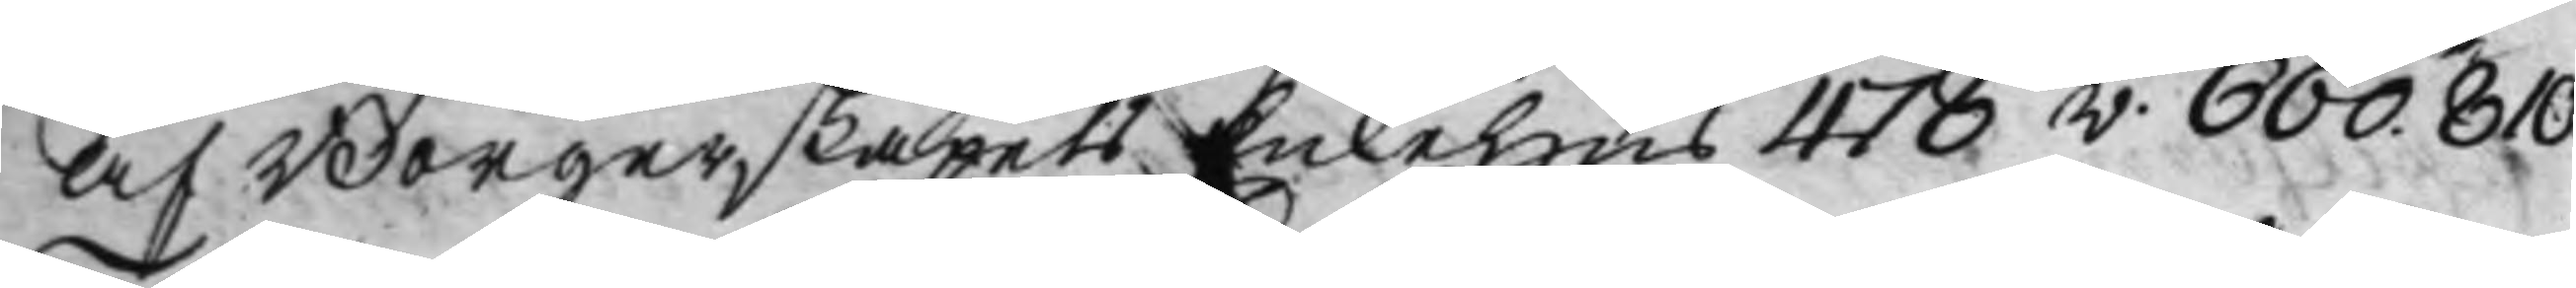af Borgerskapets Enkehus 478v. 660. 810
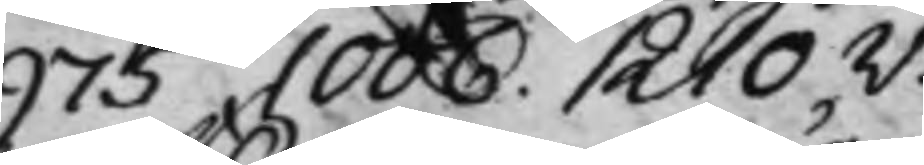975 1006. 1210v.
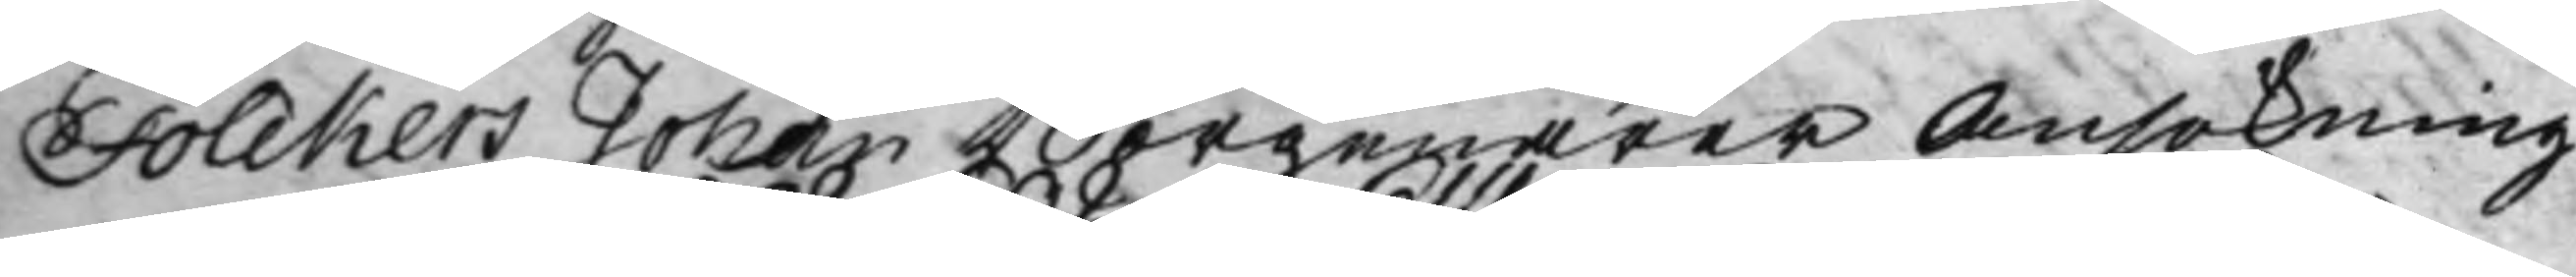Folckers Johan Borgenärer Ansökning
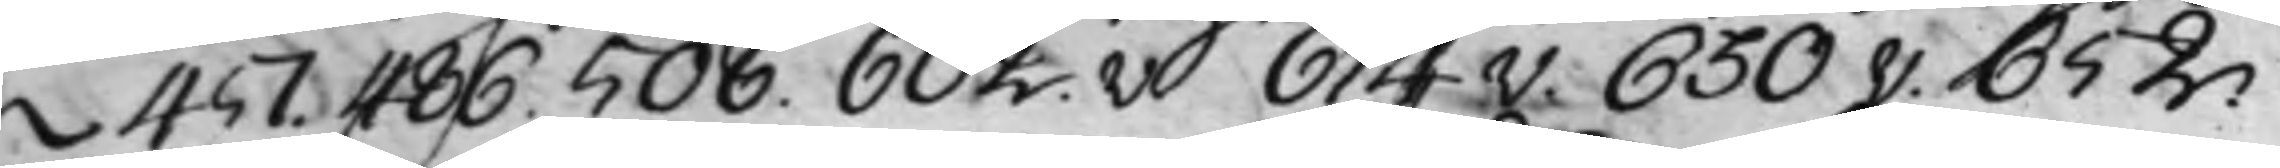457. 486. 508. 602.v. 614v. 630v. 652
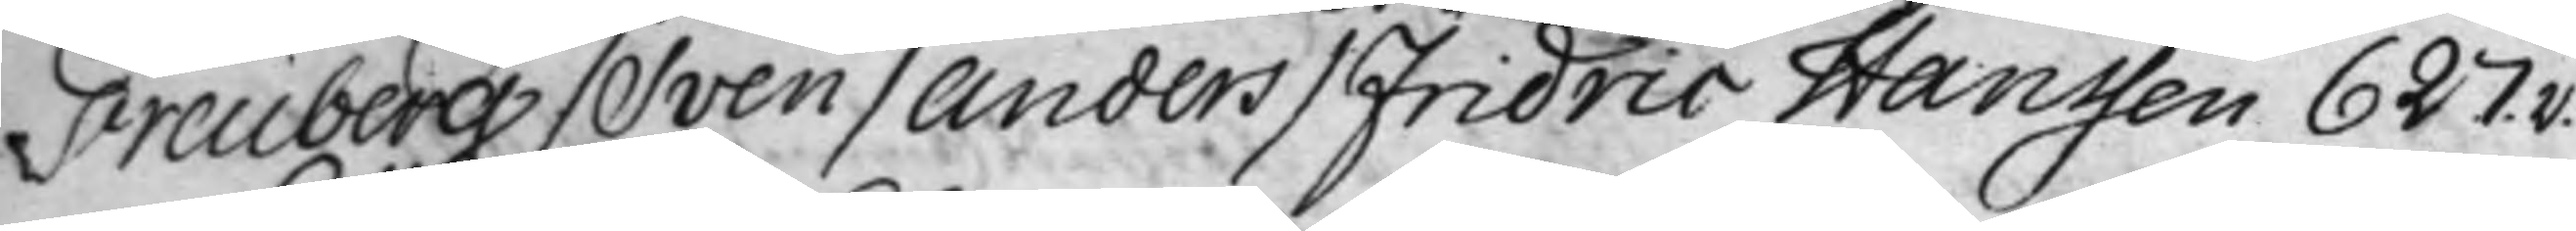Freuberg / Sven / Anders / Fridric Hanssen 627.v.
